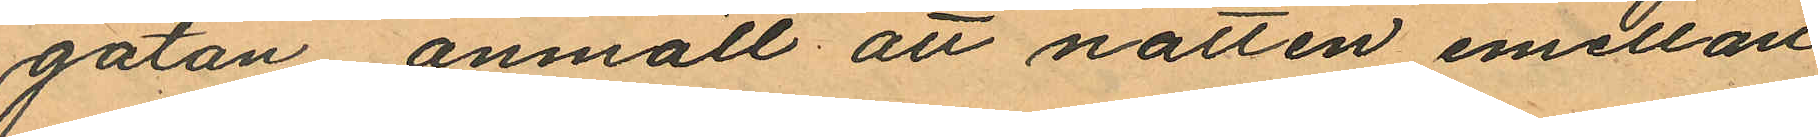gatan anmält att natten emellan
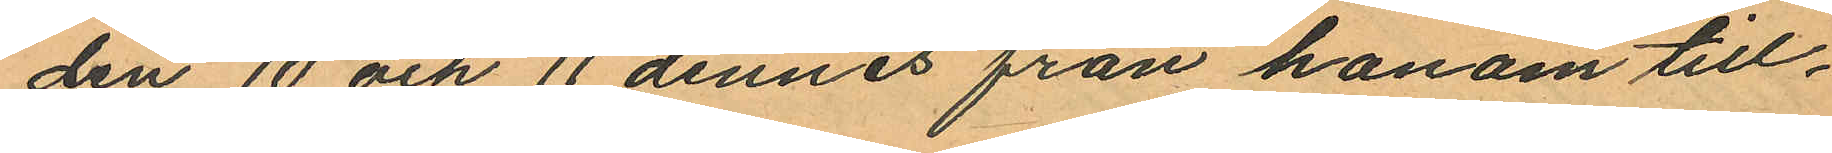den 10 och 11 dennes från honom till¬
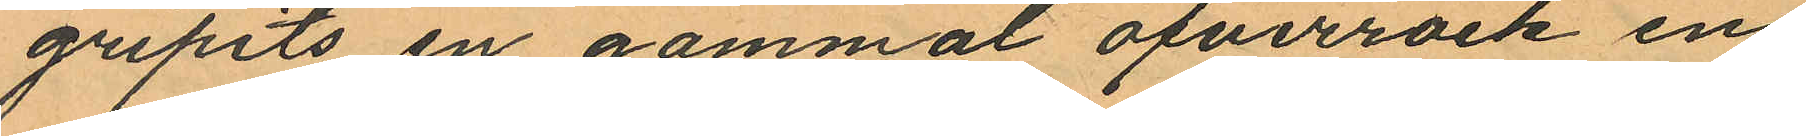gripits en gammal öfverrock en
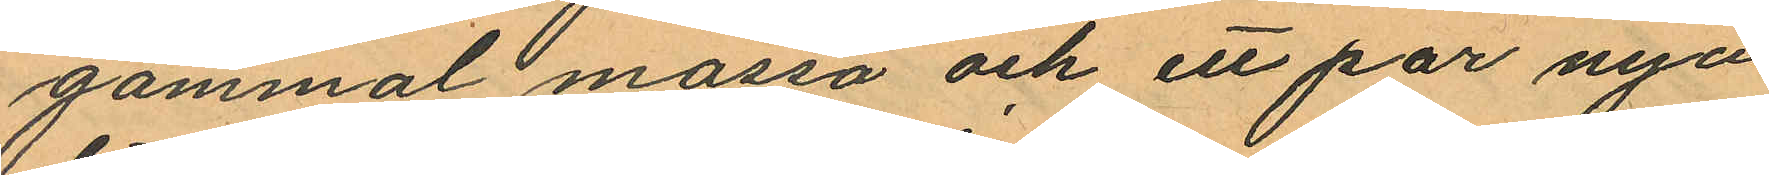gammal mössa och ett par nya
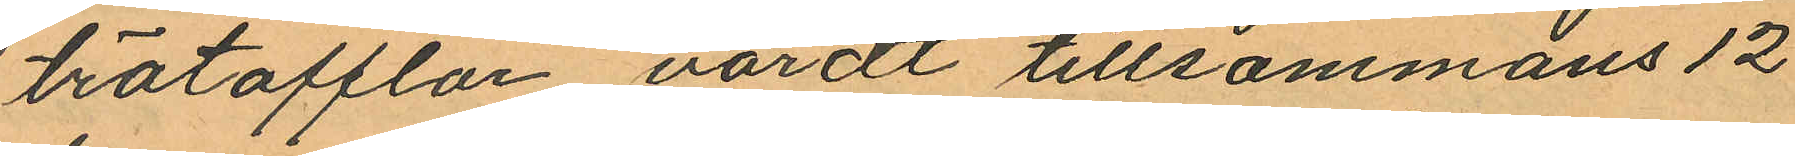trätofflor värdt tillsammans 12
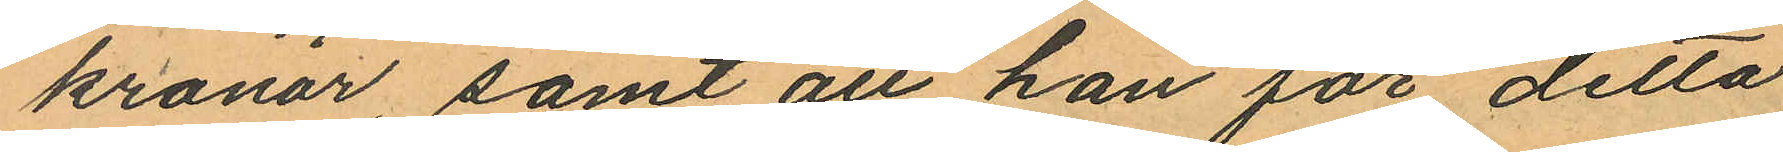kronor, samt att han för detta
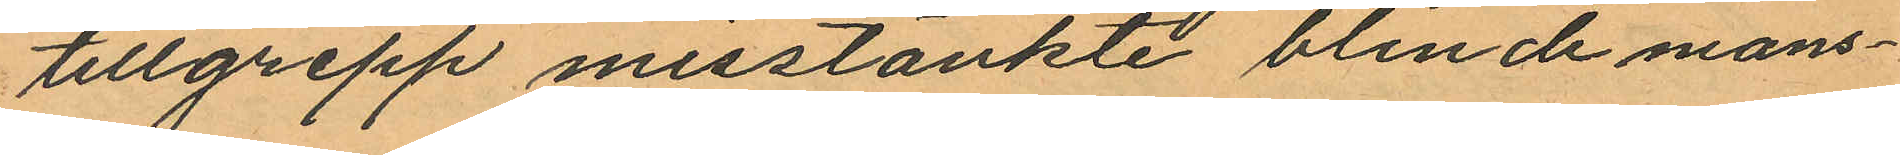tillgrepp misstänkte blinde mans¬
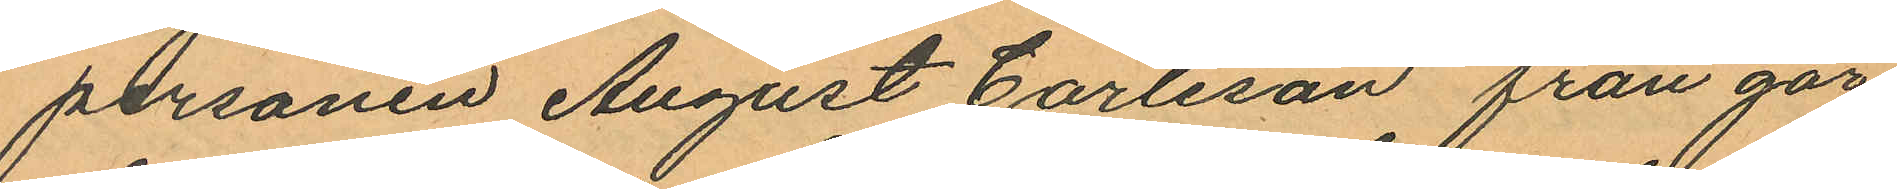personen August Carlsson från går
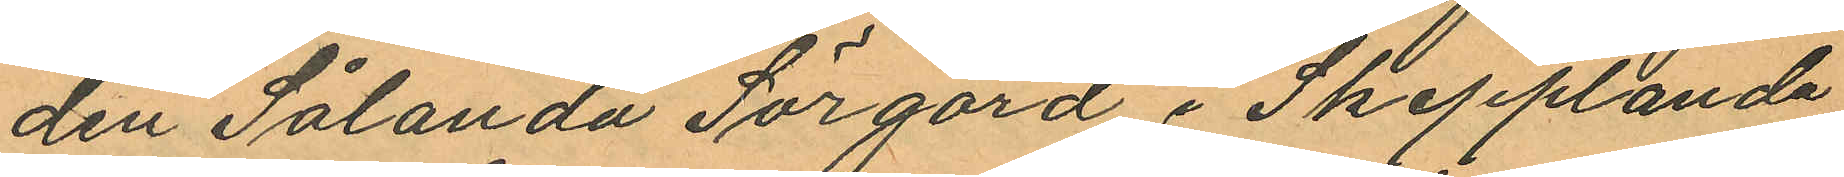den Sålanda Sörgård i Skepplanda
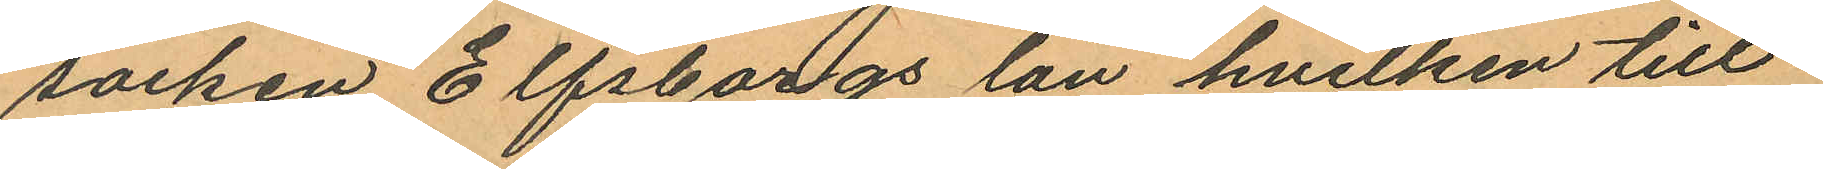socken Elfsborgs län hvilken till¬
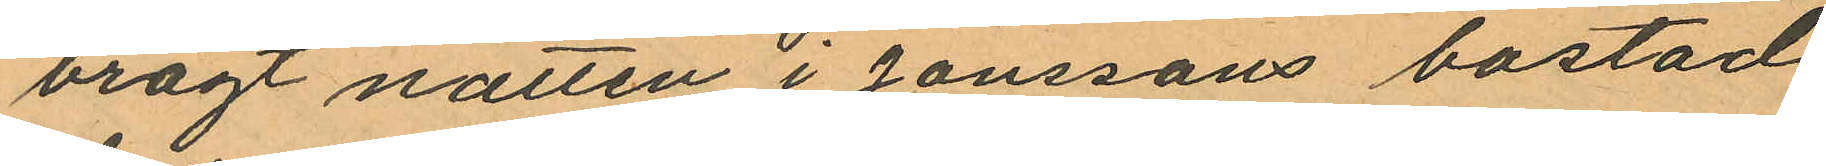bragt natten i Jonssons bostad
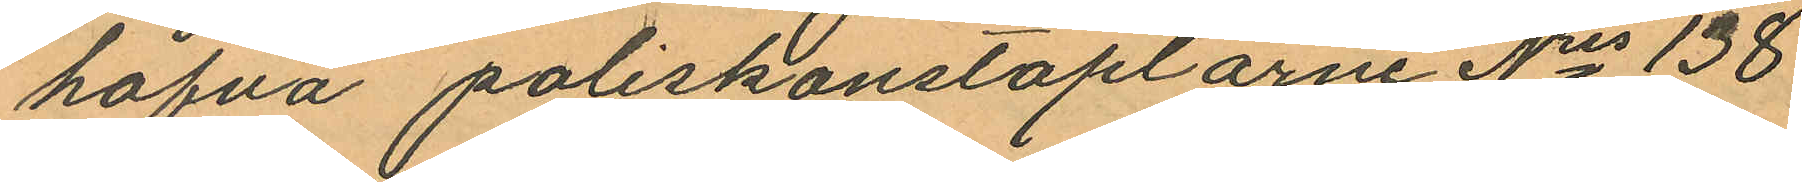hafva poliskonstaplarne Nris 138
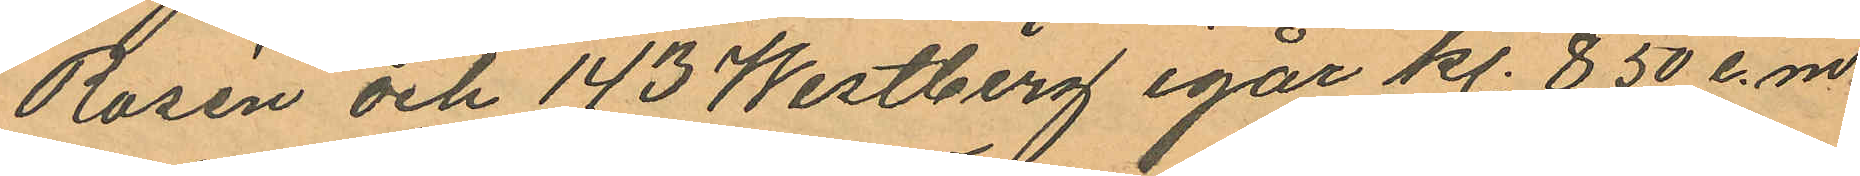Rosén och 143 Westberg igår kl. 8,50 e.m.
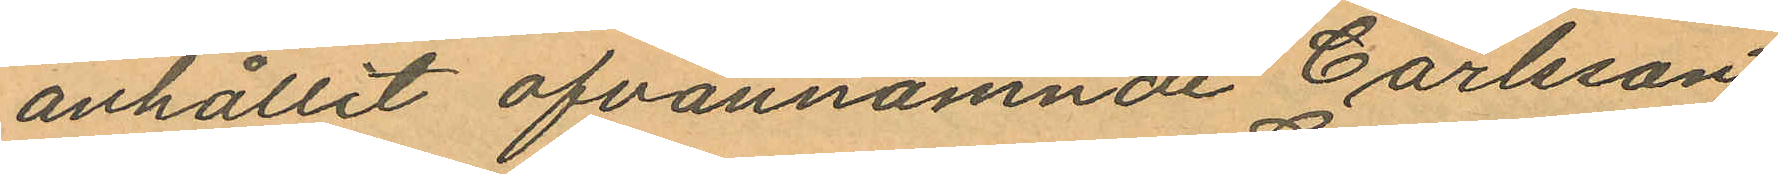anhållit ofvannämnde Carlsson
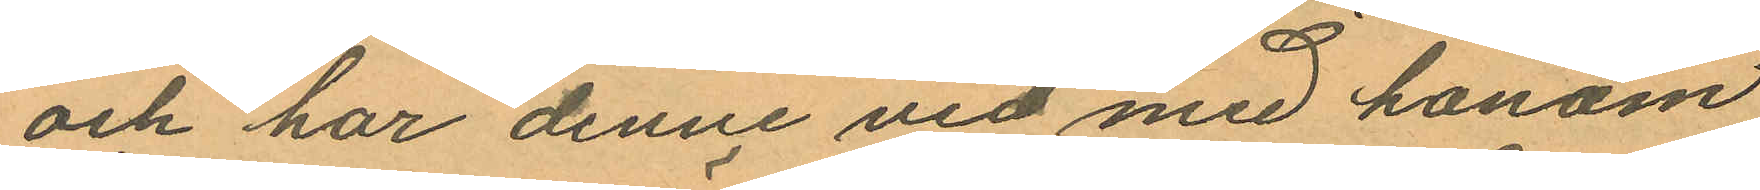och har denne vid med honom
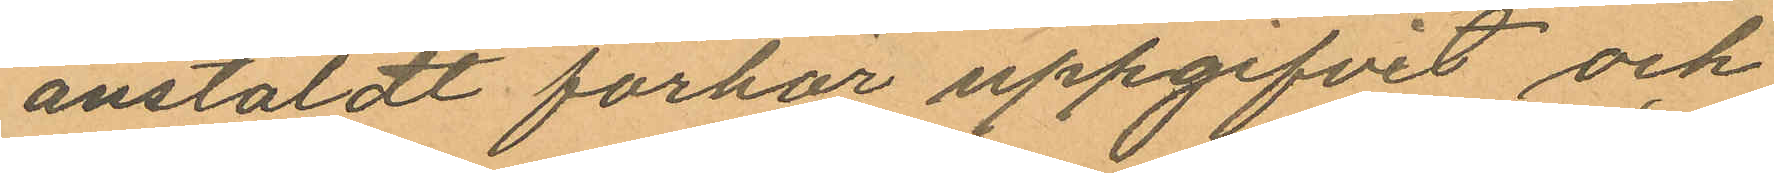anstäldt förhör uppgifvit och
